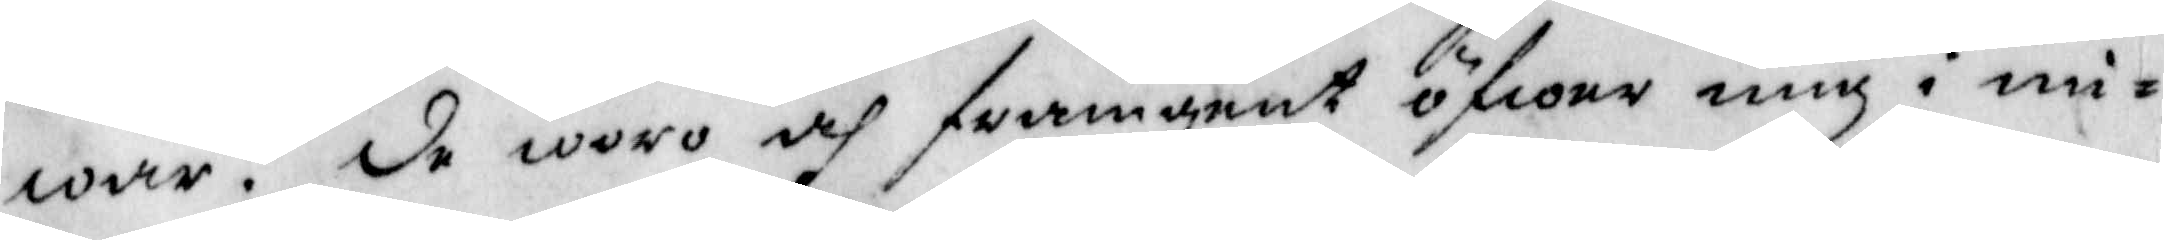war. de woro och framgent öfwer mig i mi¬
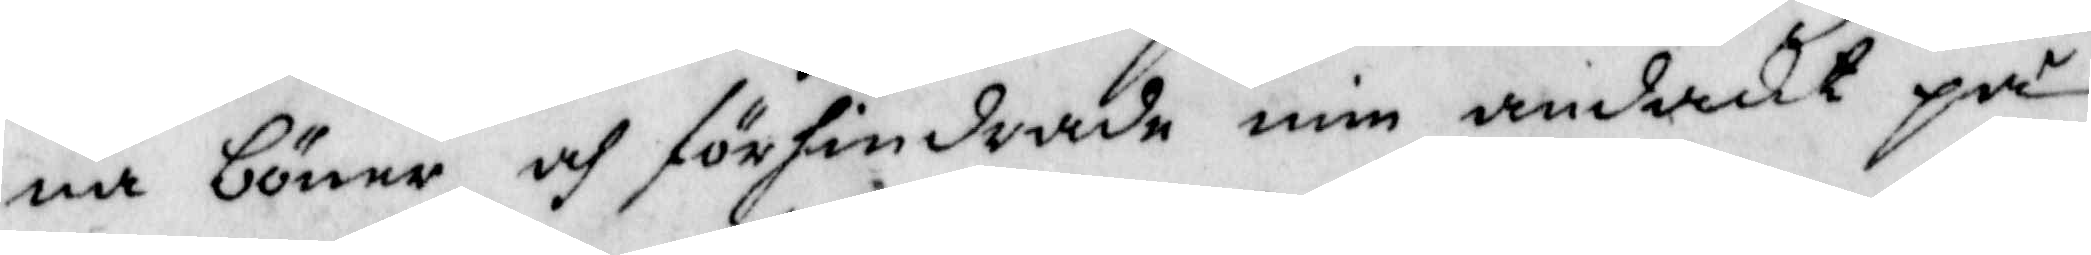na böner och förhindrade min andakt på
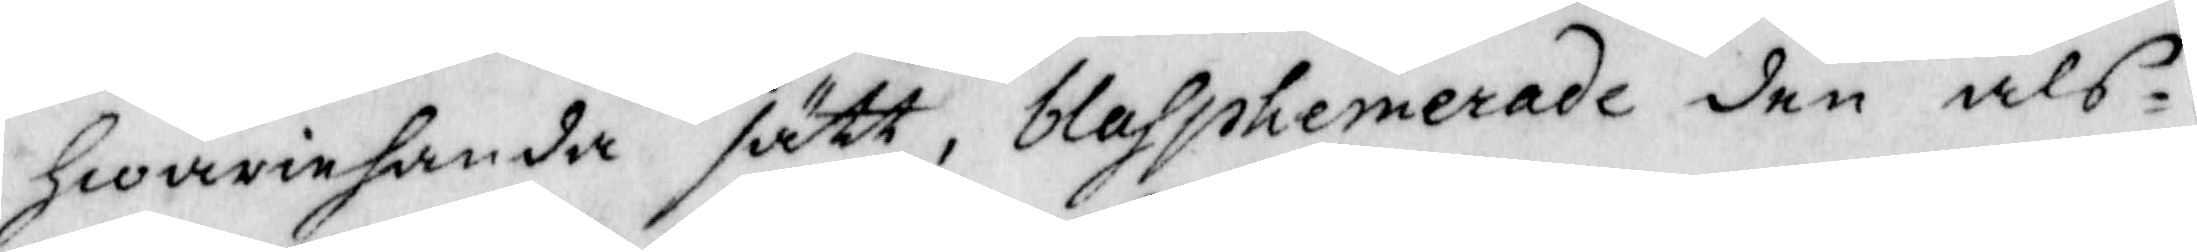hwariehanda sätt, blasphemerade den als¬
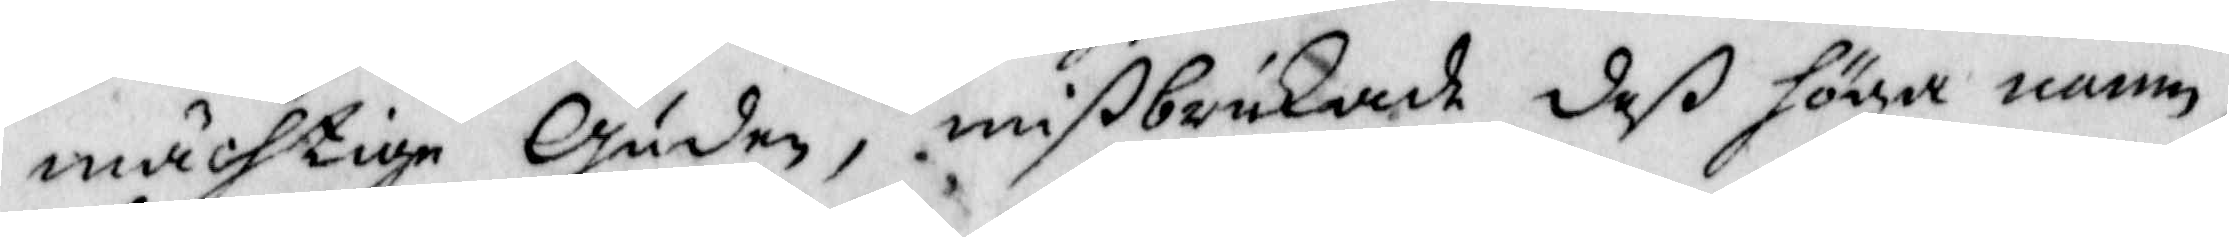mächtige Guden, mißbrukade deß höga namn.
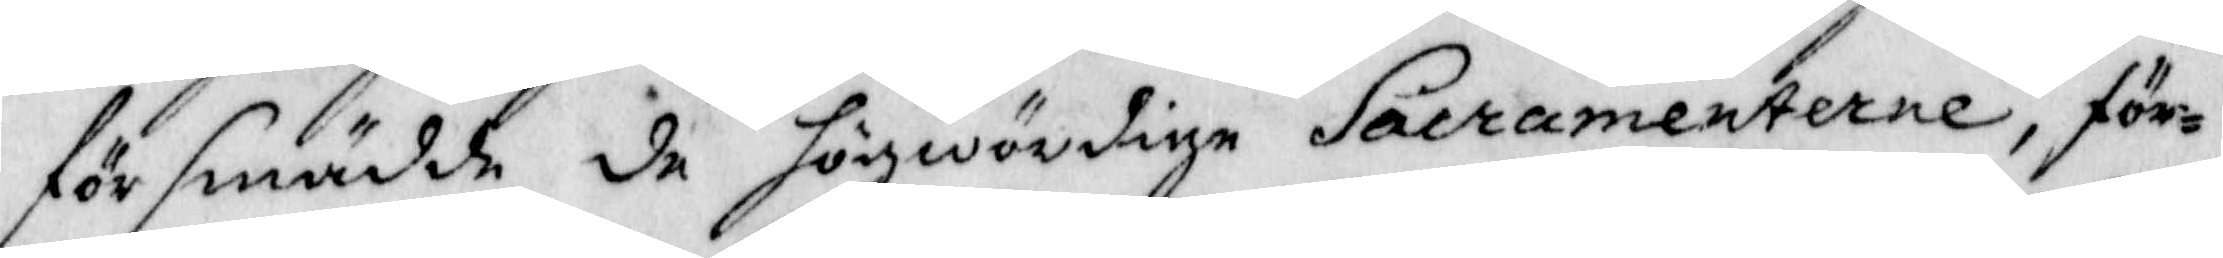försmädade de högwördige Sacramenterne, för¬
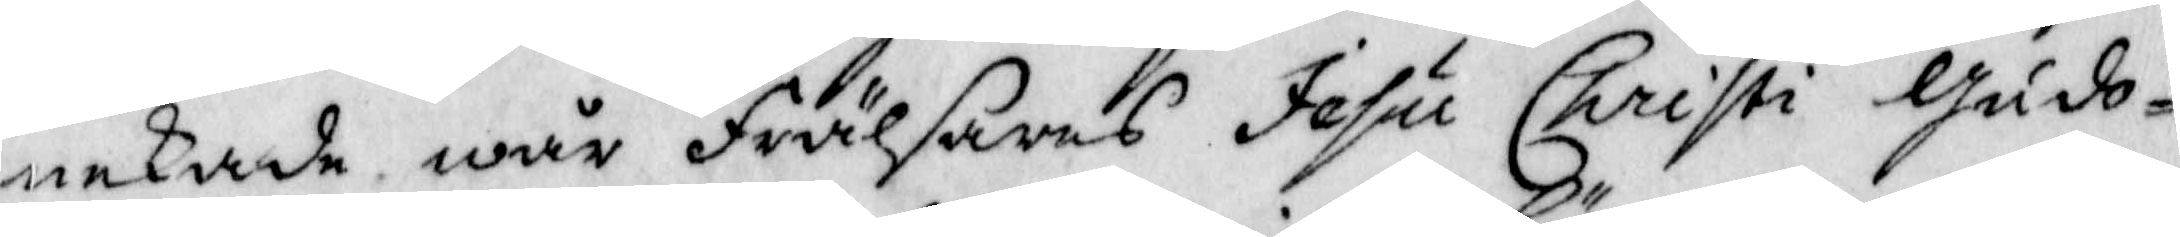nekade wår Frälsares Jesu Christi Gudo¬
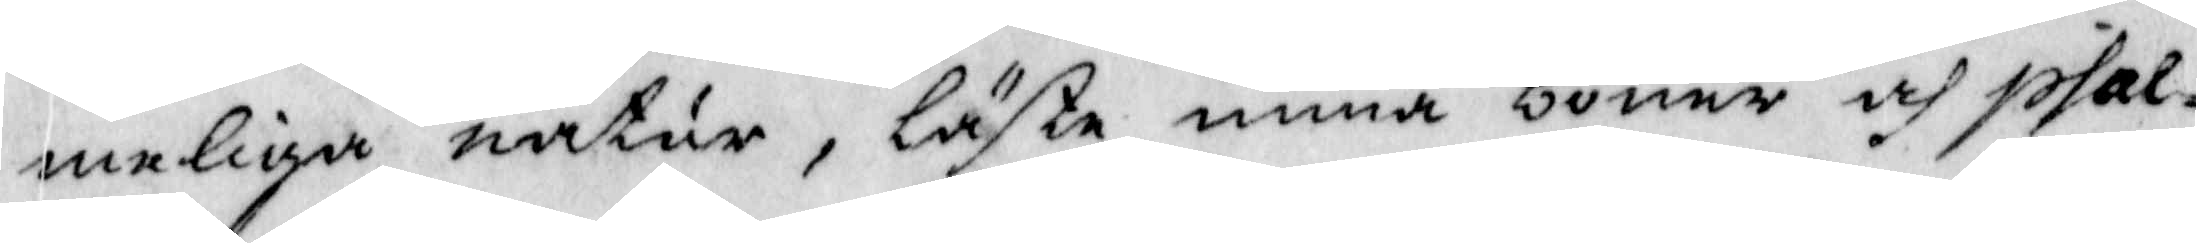meliga natur, läste mina böner och psal¬
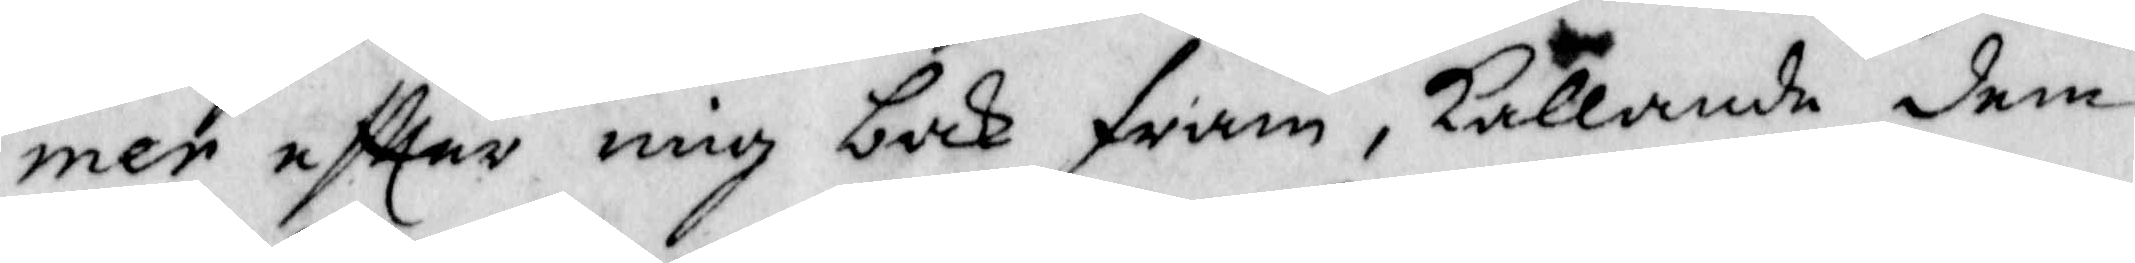mer eftter mig bak fram, kallandes dem
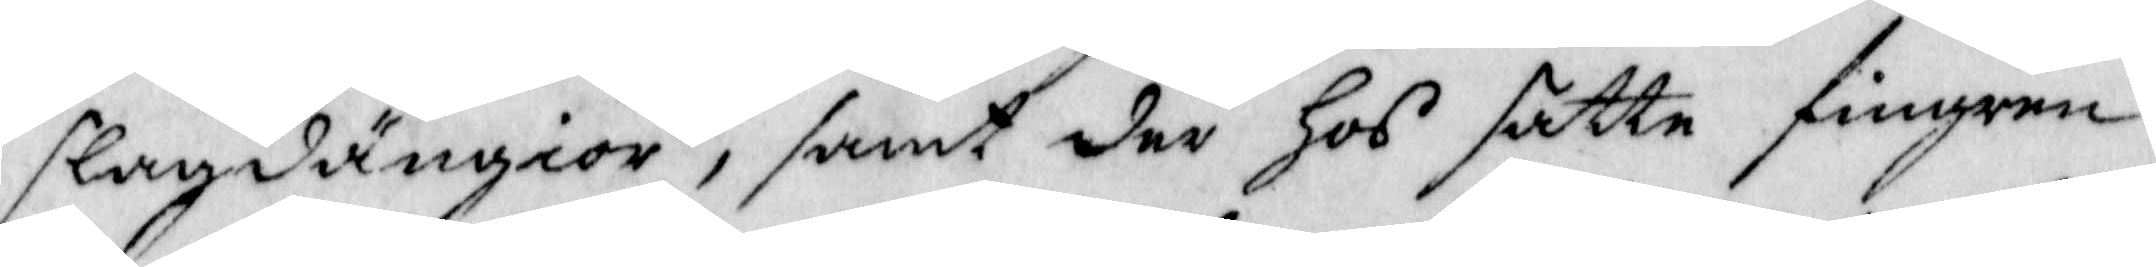slagedängior, samt der hos sätte fingren
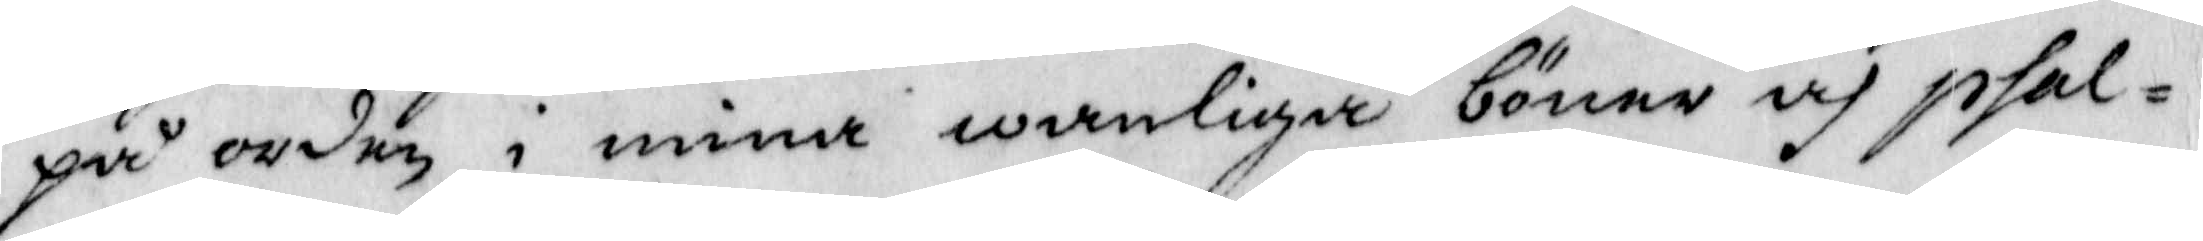på orden i mine wanliga böner och psal¬
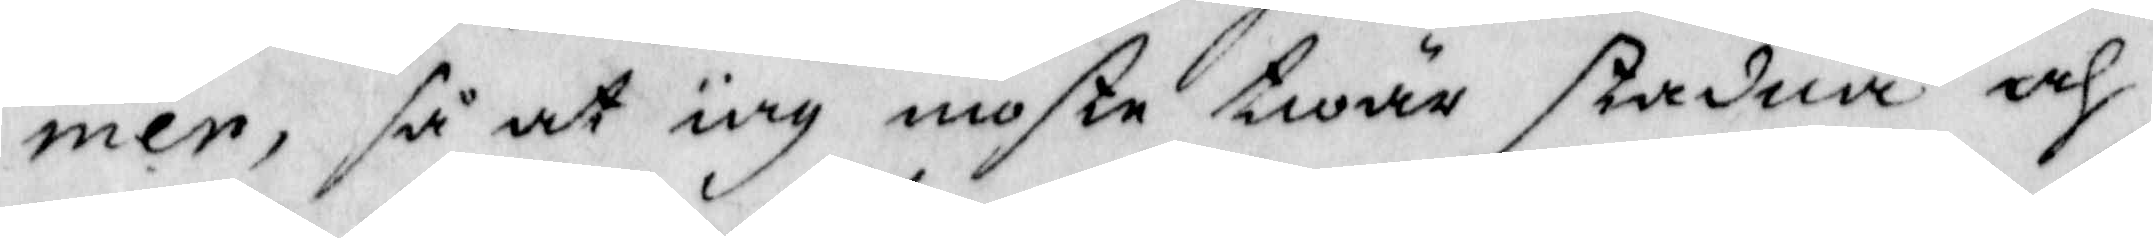mer, så at iag moste twär stadna och
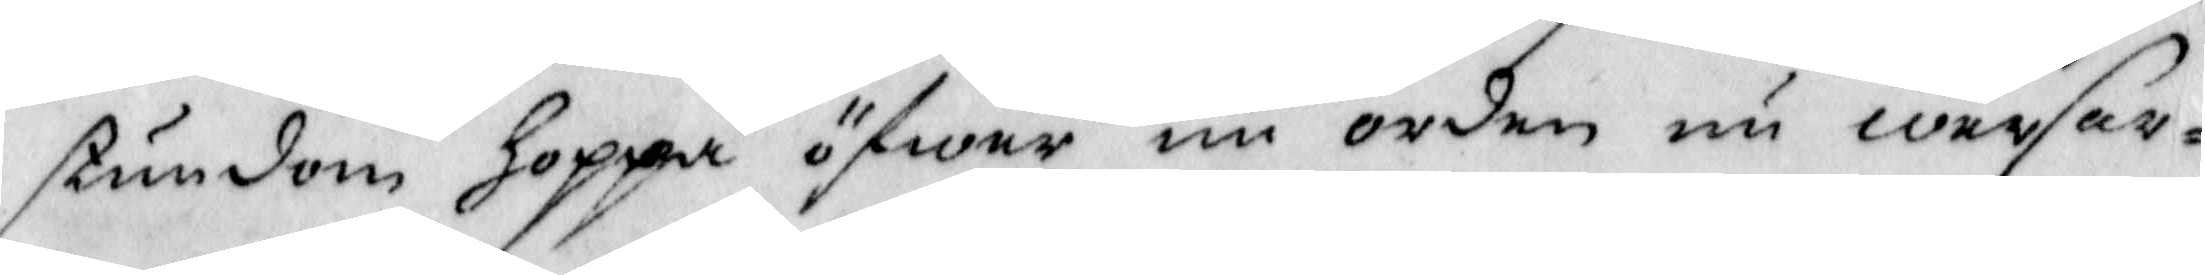stundom hoppa öfwer nu orden nu werser¬
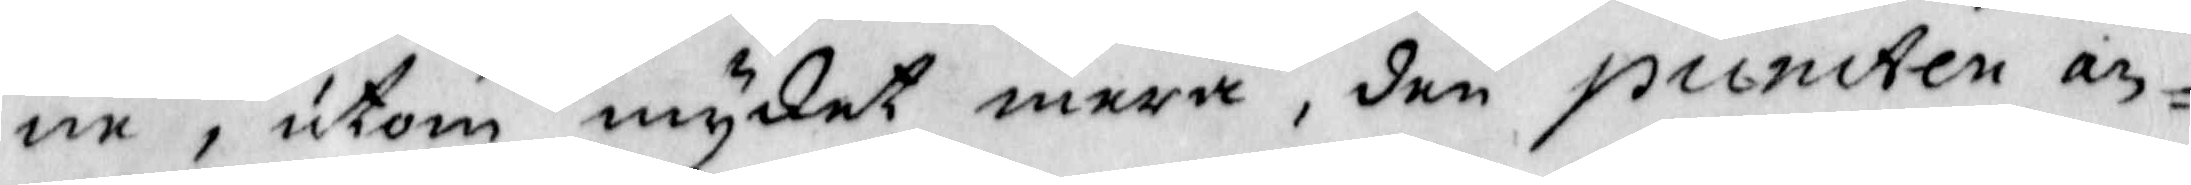ne, utom mycket mera, den puncten an¬
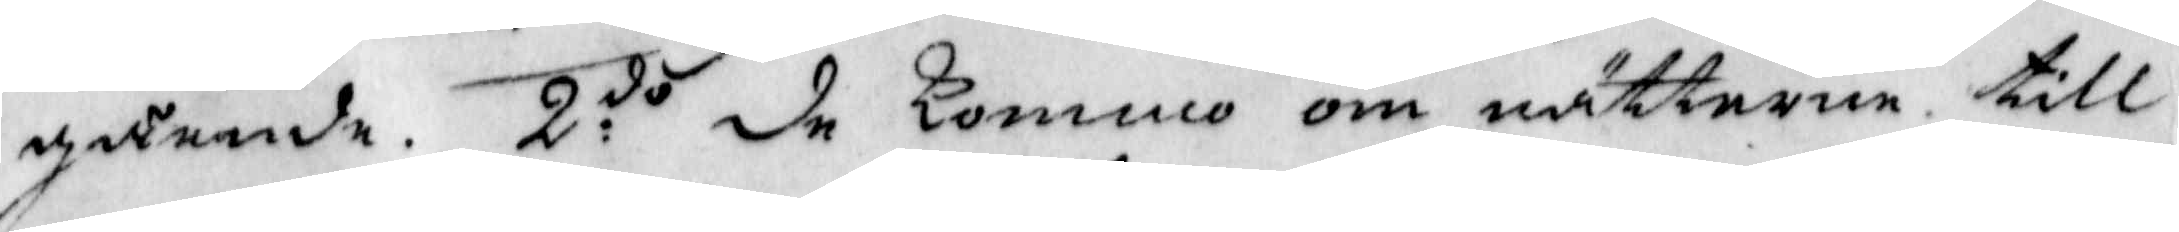gående. 2:do de kommo om nätterna till
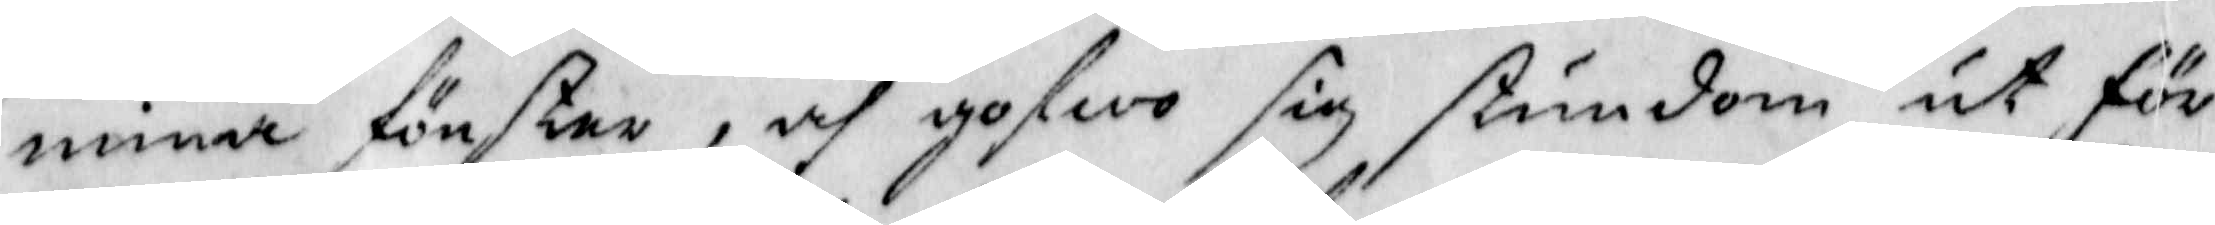mina fönster, och gofwo sig stundom ut för
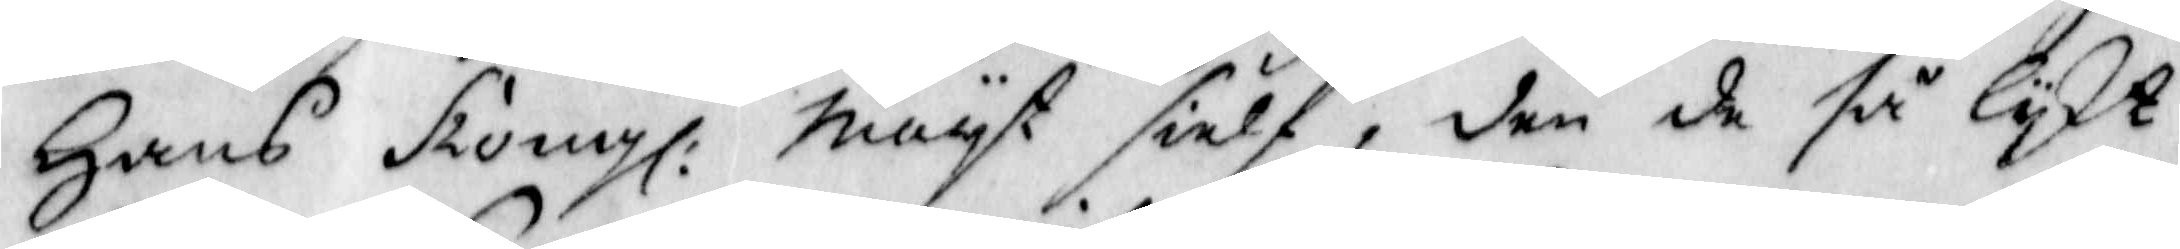Hans Kongl. Mayt sielf, den de så lykt
